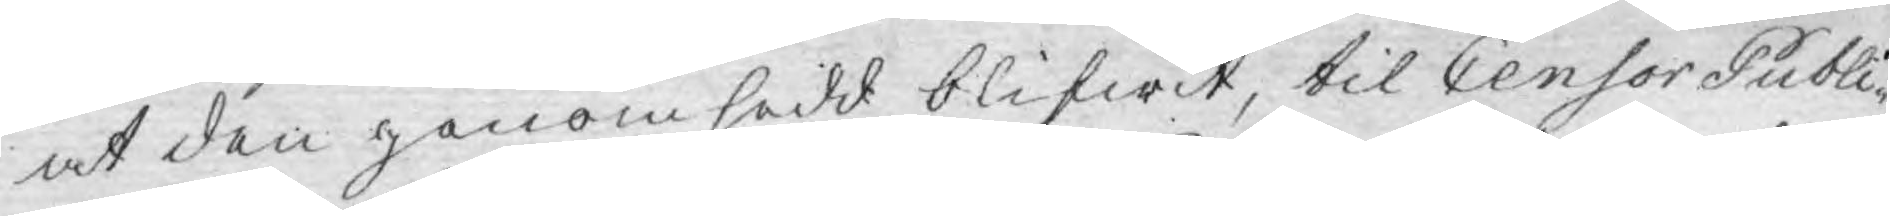at den genomsedd blifwit, til Censor Publi¬
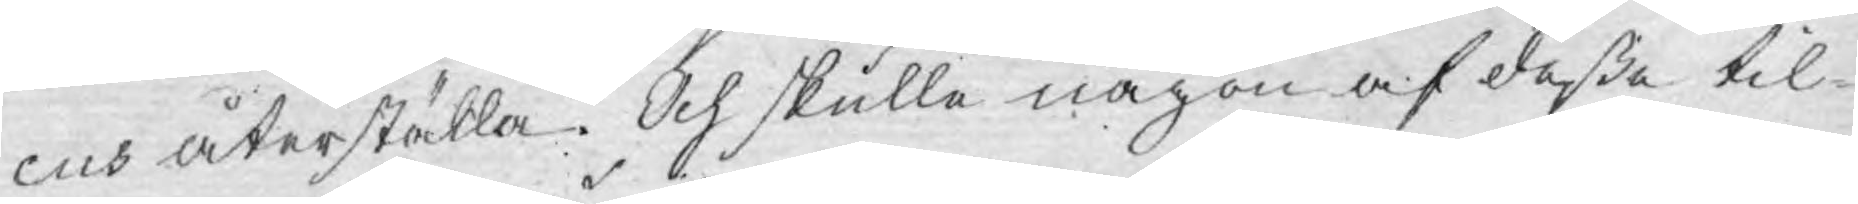cus återställa. Och skulle någon af deße til¬
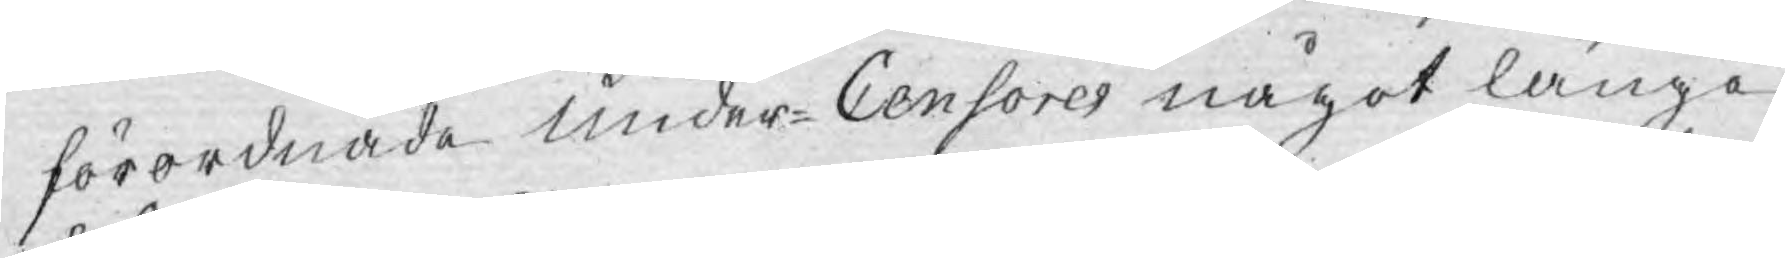förordnade Under-Censores något länge
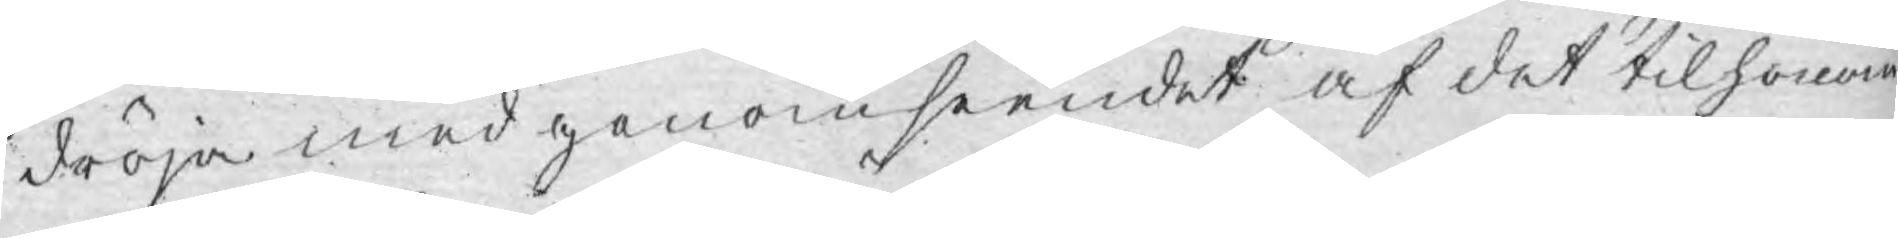dröja med genomseendet af det til honom
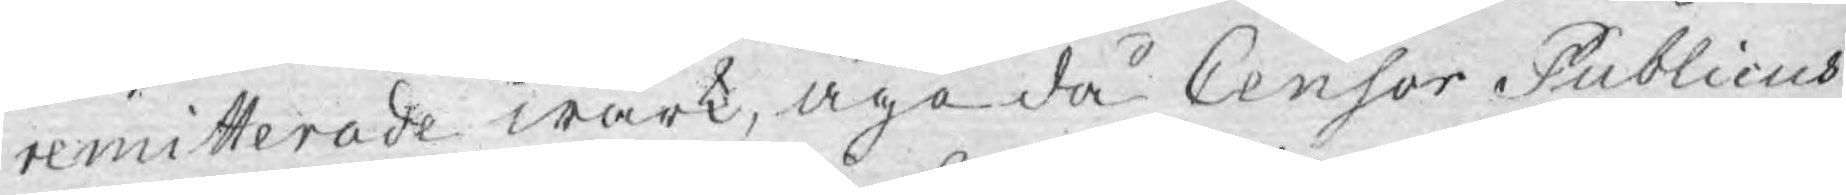remitterade wärk, äge då Censor Publicus
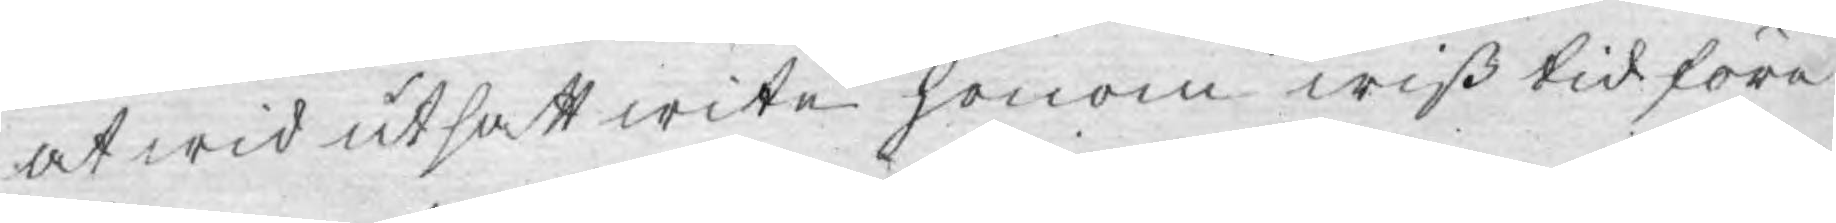af wid utsatt wite honom wiß tid före¬
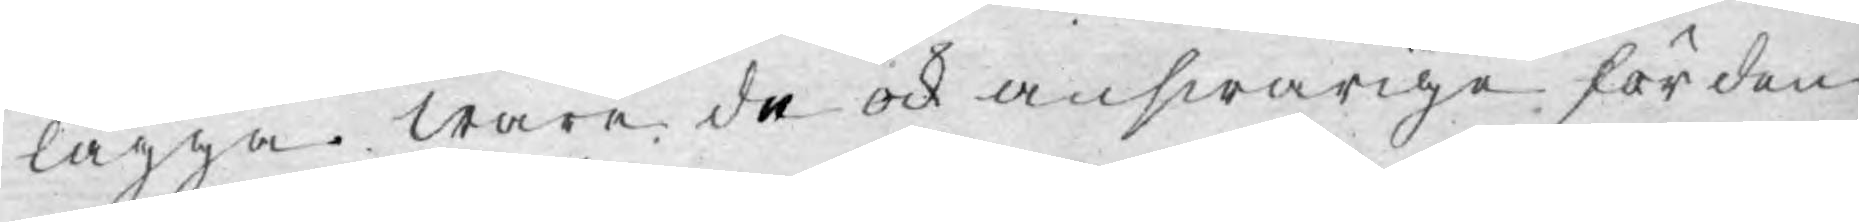lägga. Ware de ock answarige för den
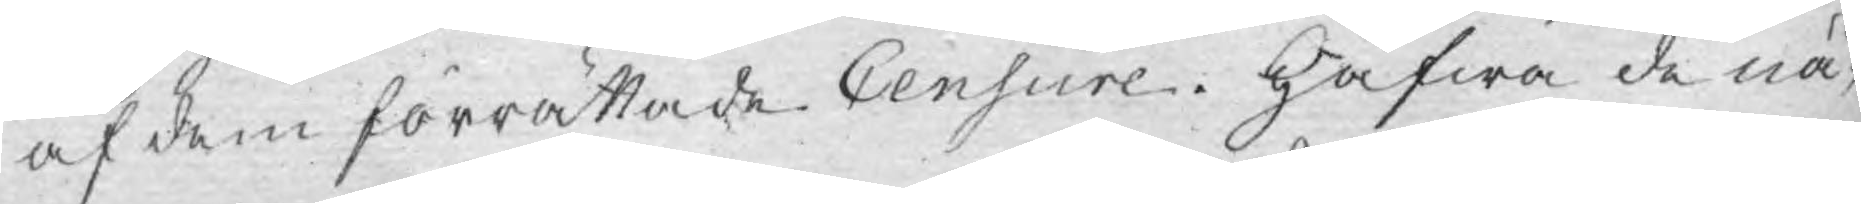af dem förrättade Censure. Hafwa de nå¬
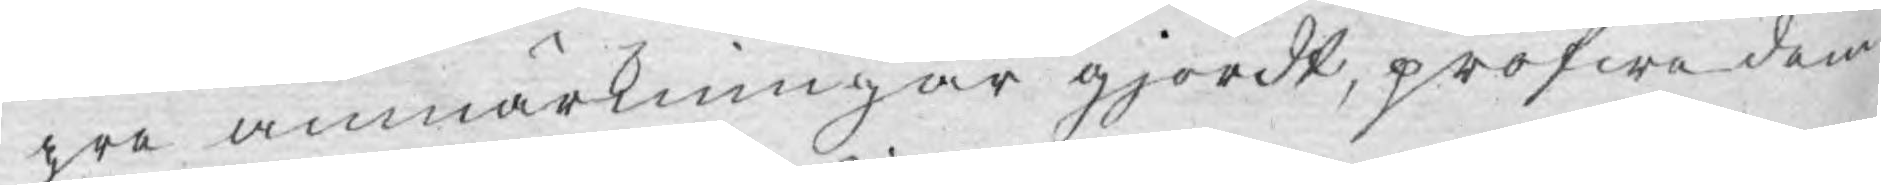gra anmärkningar gjordt, pröfwa dem
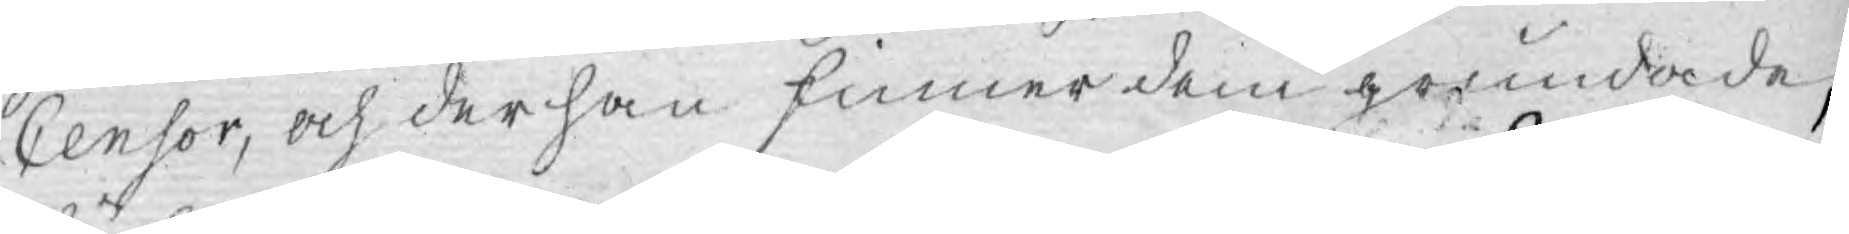Censor, och der han finner dem grundade,
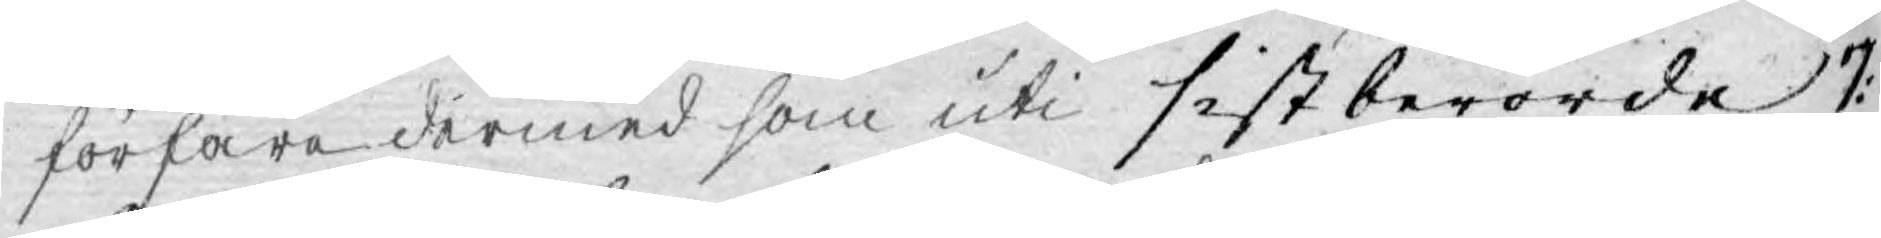förfara dermed som uti sistberörde 7:
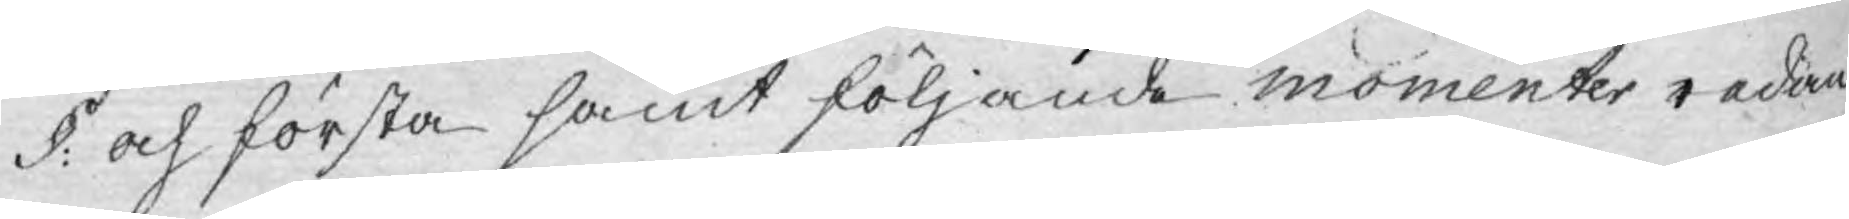§: och första samt följande momenter redan
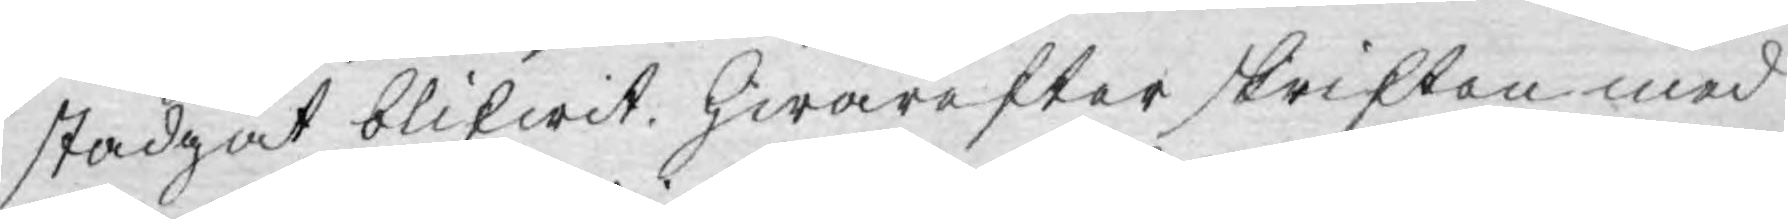stadgat blifwit, hwarefter skriften med
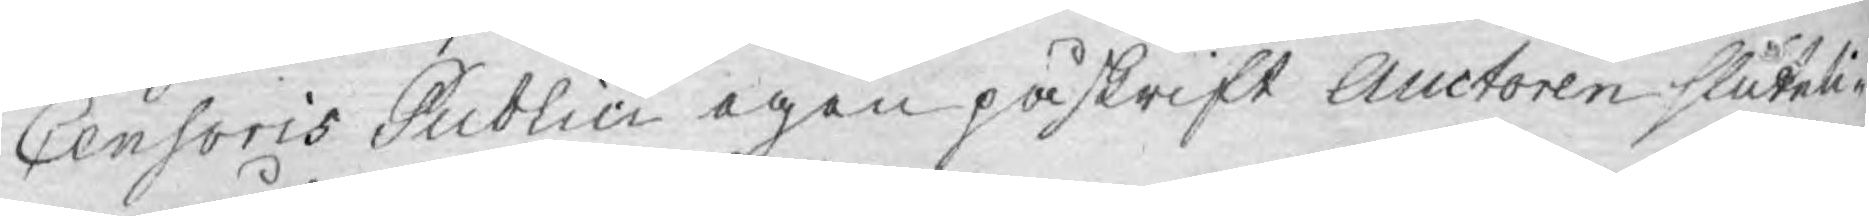Censoris Publici egen påskrift Auctoren sluteli¬
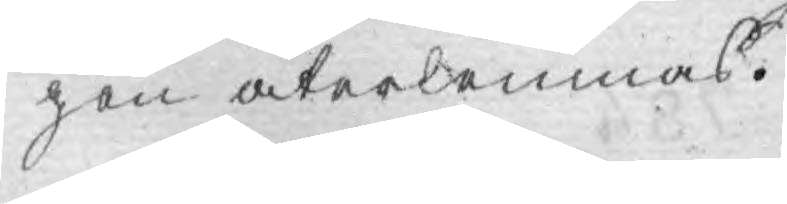gen återlemnas.
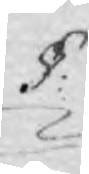§:
